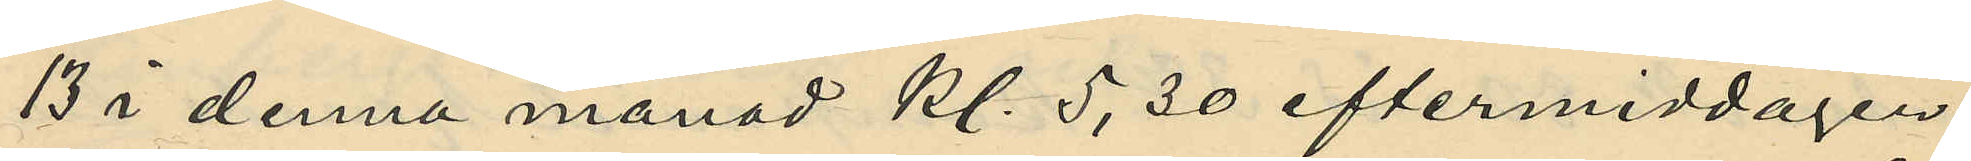13 i denna månad kl. 5,30 eftermiddagen
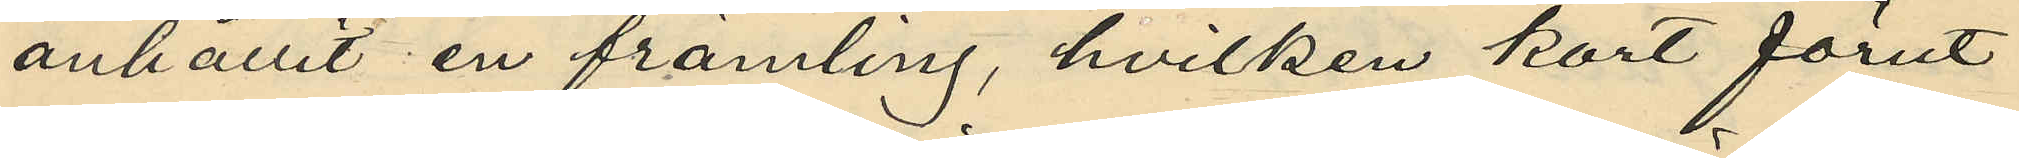anhållit en främling, hvilken kort förut
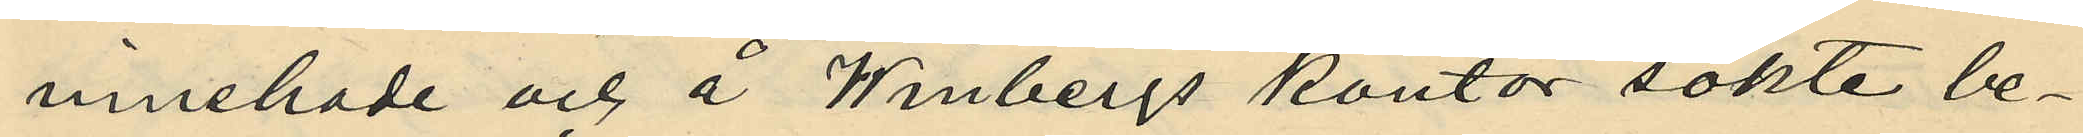innehade och å Winbergs kontor sökte be¬
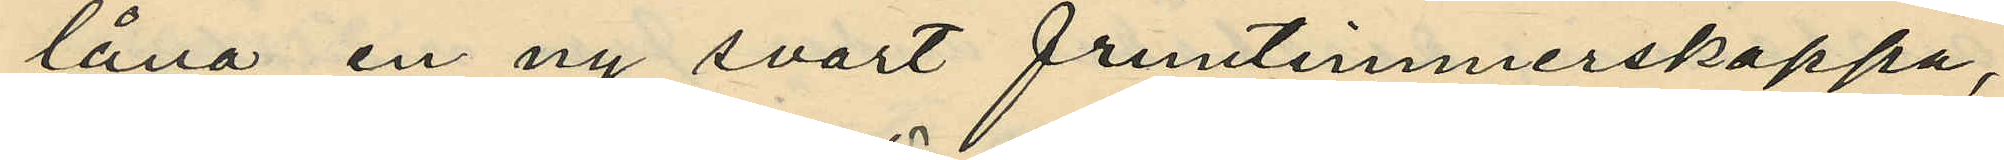låna en ny svart fruntimmerskappa,
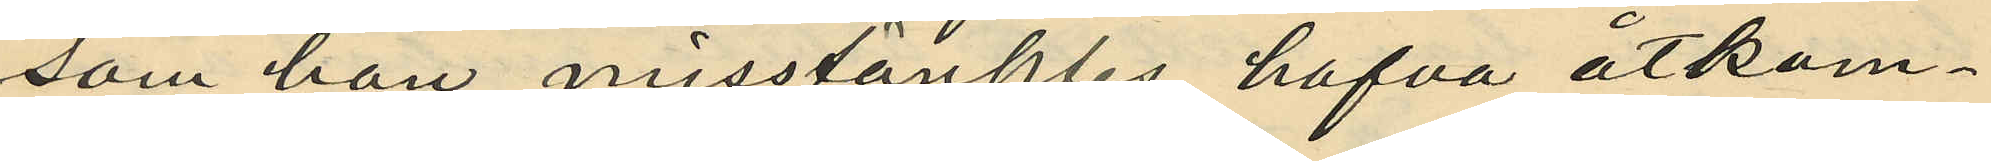som han misstänktes hafva åtkom¬
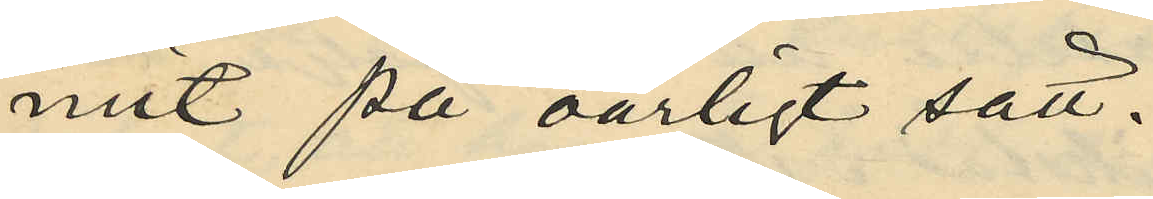mit på oärligt sätt.
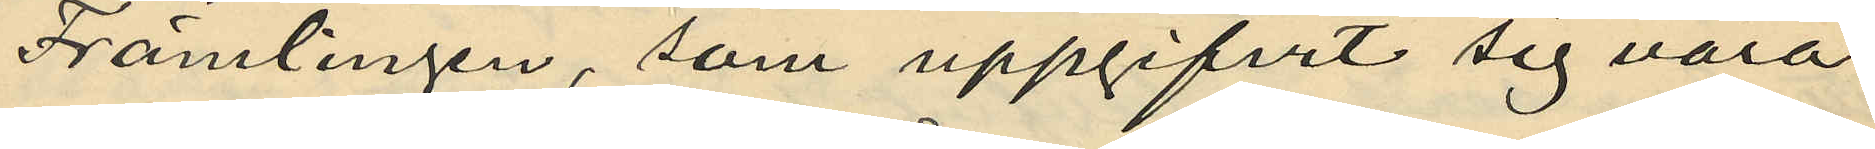Främlingen, som uppgifvit sig vara
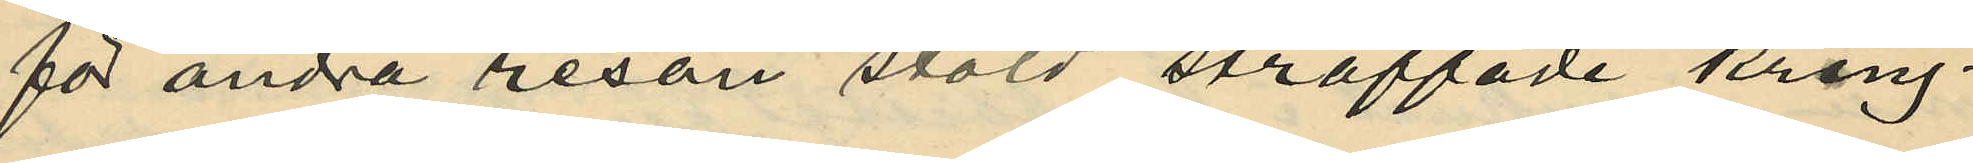för andra resan stöld straffade kring¬
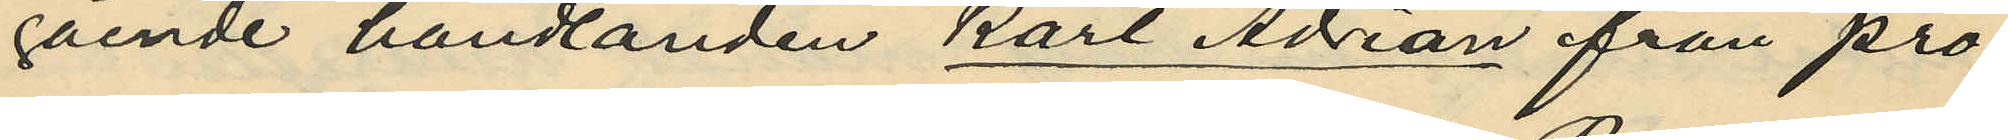gående handlanden Karl Adrian från pro¬
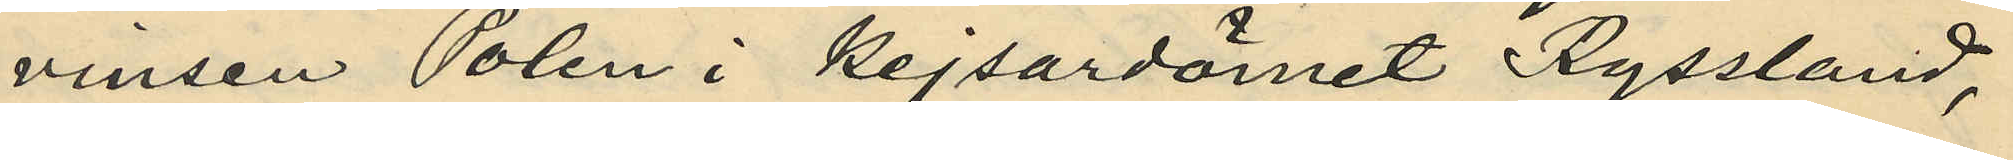vinsen Polen i Kejsardömet Ryssland,
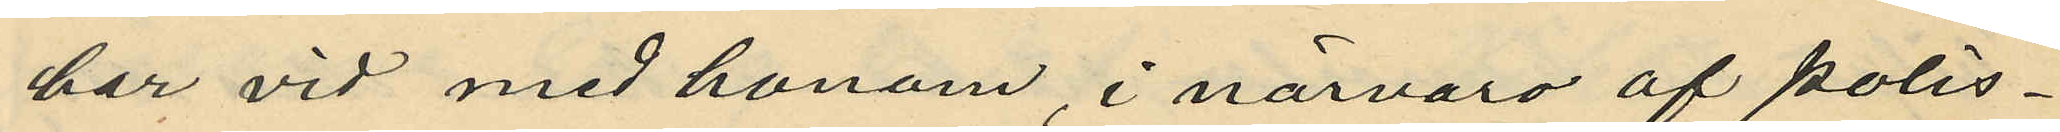har vid med honom, i närvaro af polis¬
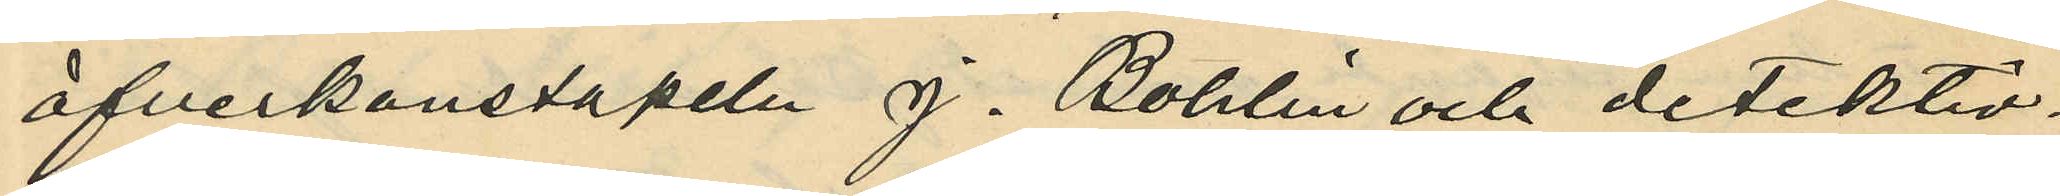öfverkonstapeln J. Bohlin och detektiv¬
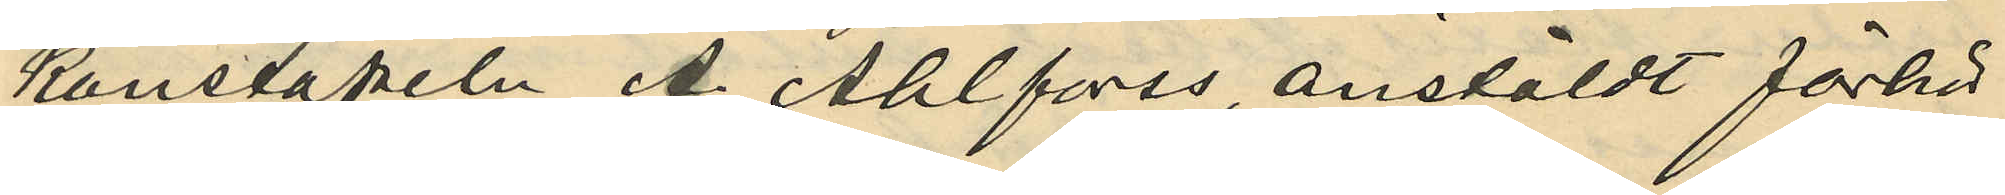konstapeln A. Ahlfors anstäldt förhör
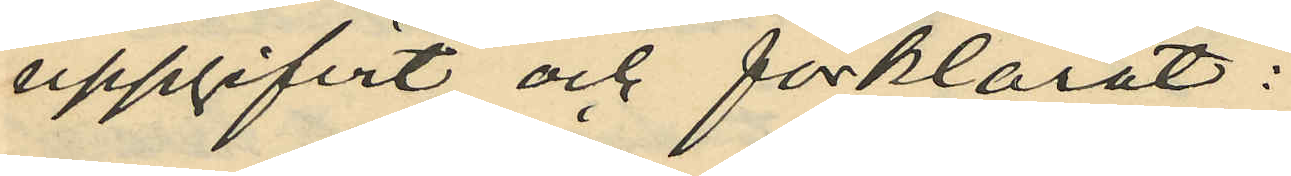uppgifvit och förklarat:
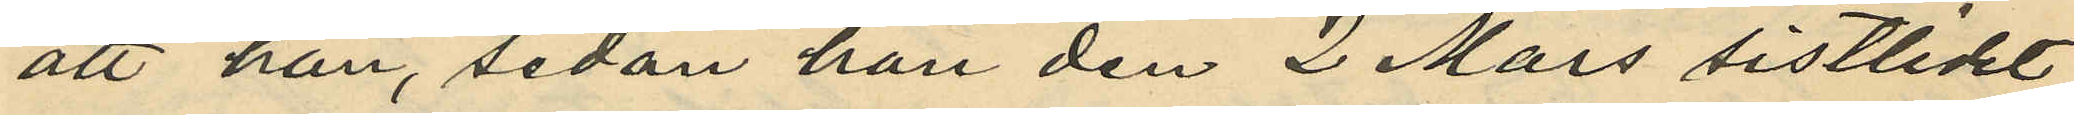att han, sedan han den 2 Mars sistlidet
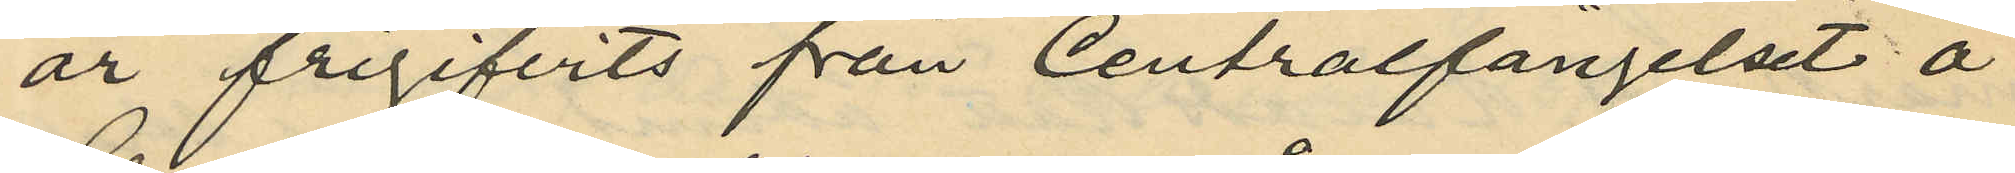år frigifvits från Centralfängelset å
